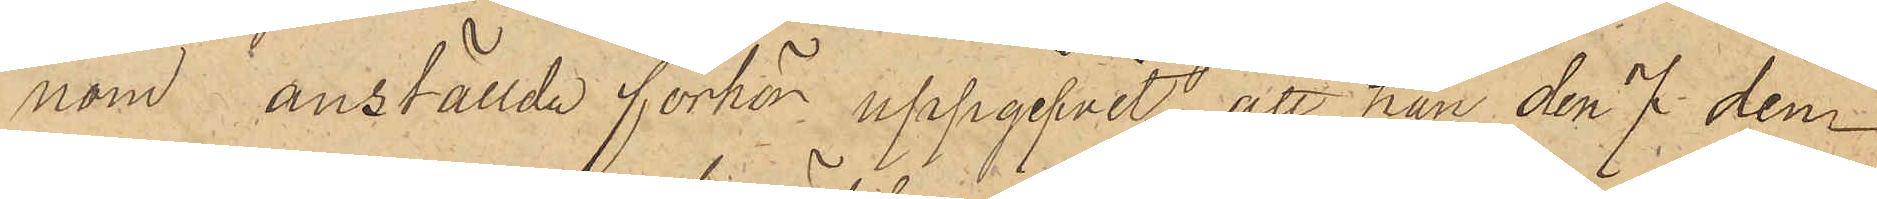nom anställde förhör uppgifvit, att han den 7 den¬
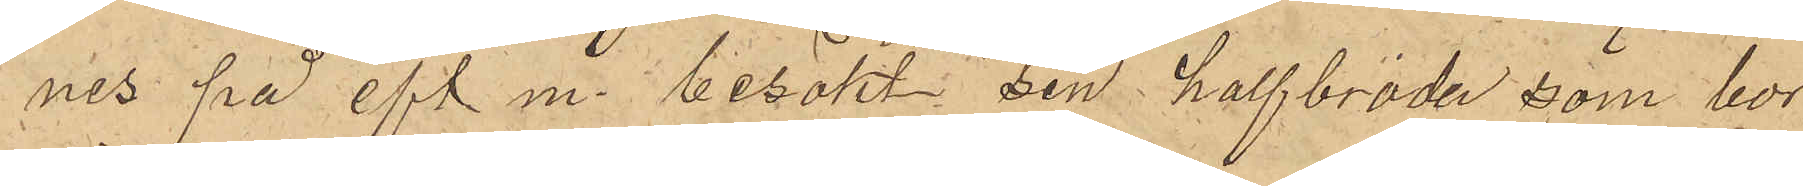nes på eft. m. besökt sin halfbroder som bor
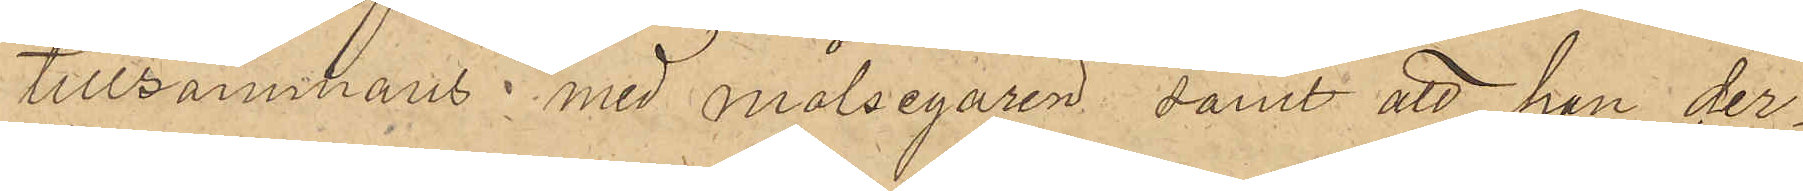tillsammans med målsegaren samt att han der¬
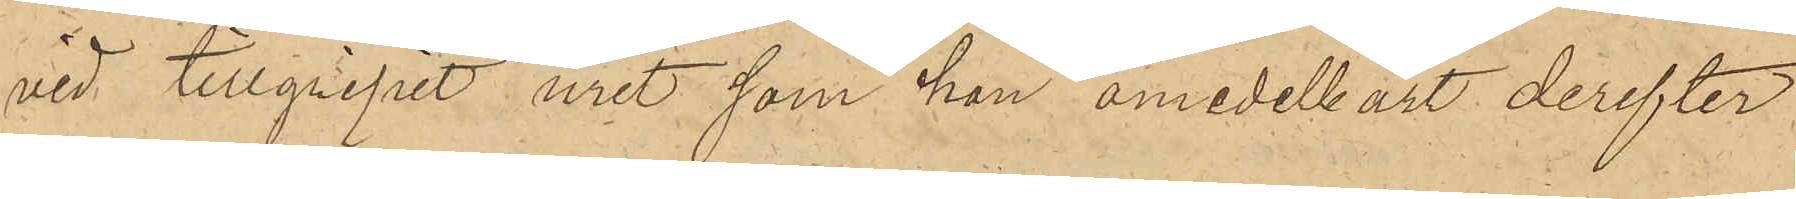vid tillgripit uret, som han omedelbart derefter
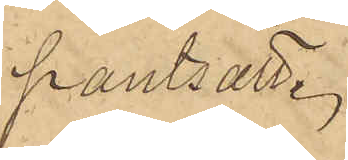pantsatte.
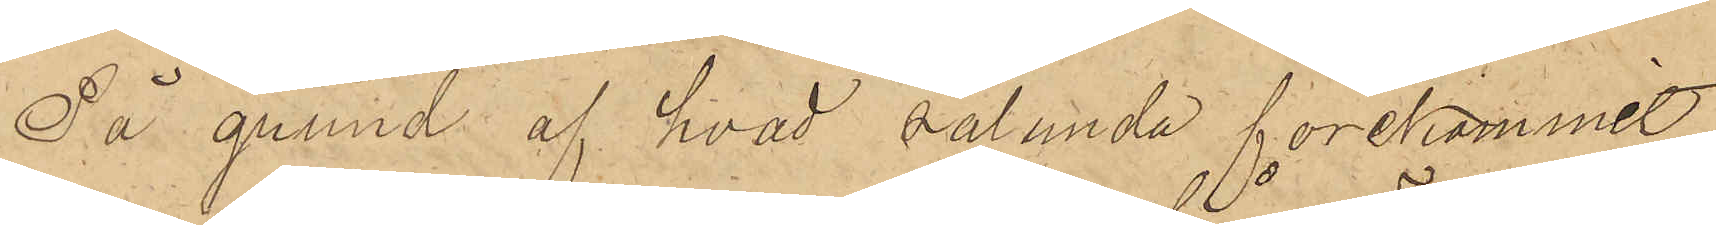På grund af hvad sålunda förekommit
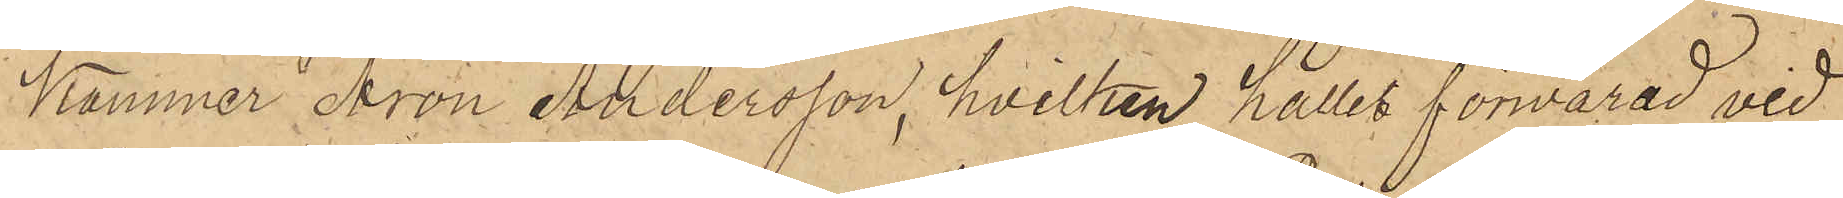kommer Aron Andersson, hvilken hålles förvarad vid
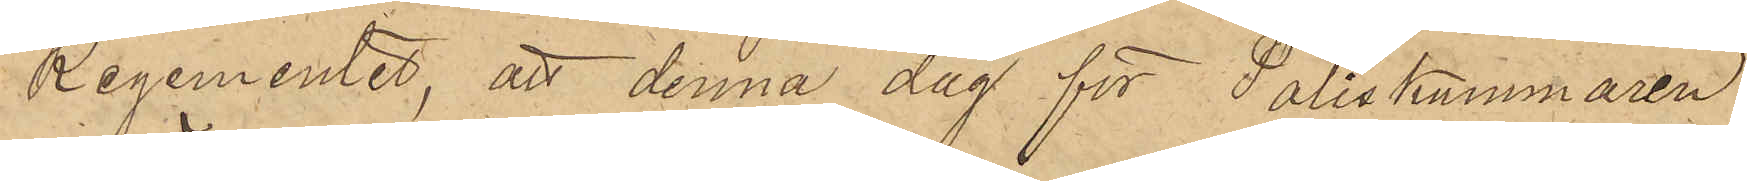Regementet, att denna dag för Poliskammaren
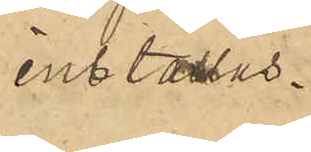inställas.
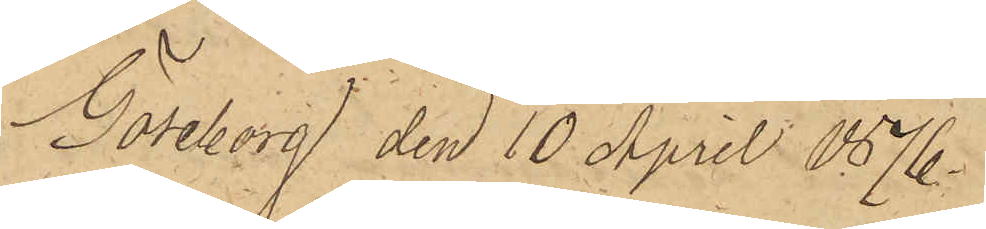Göteborg den 10 April 1876.
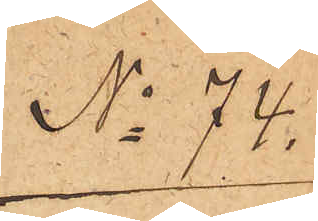No 74.
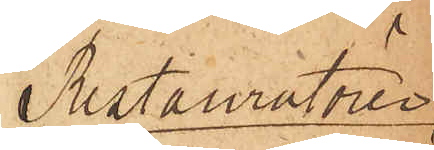Restauratören
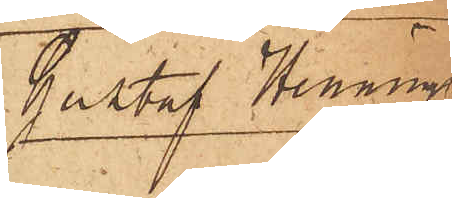Gustaf Henning
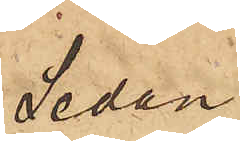Sedan
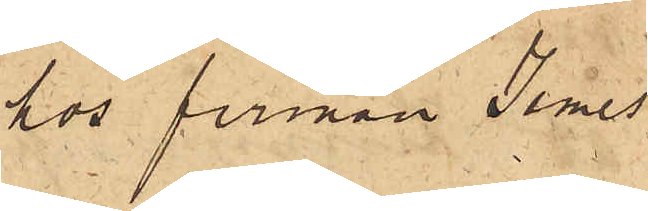hos firman James
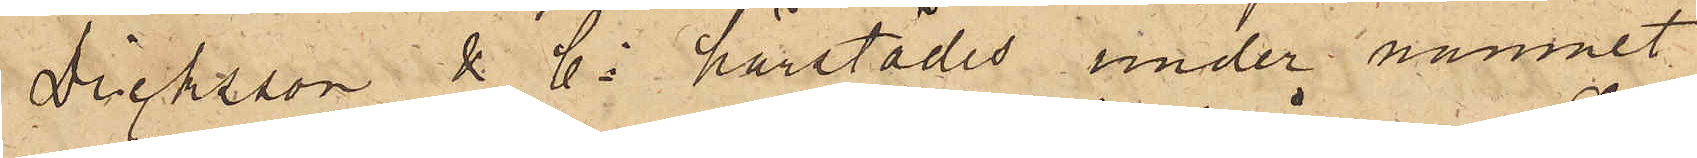Dicksson & Co härstädes under namnet
